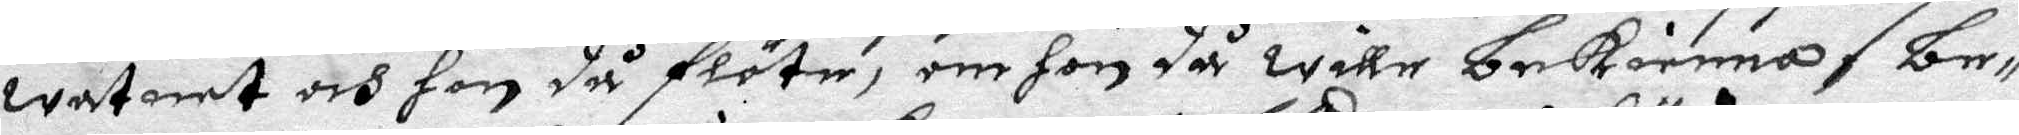watnet och hon då flöte, om hon så wille bekienna, be¬
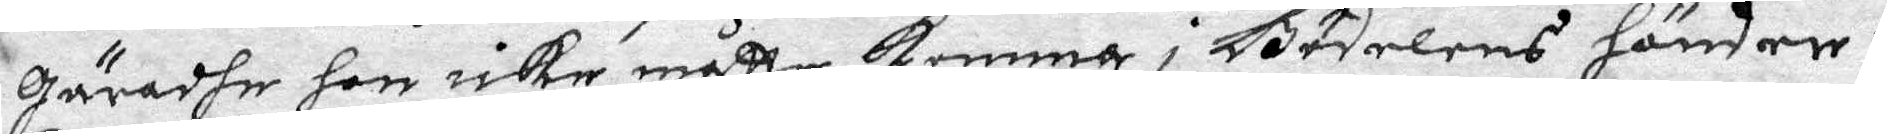gäradhe hon icke måtte komma i Bödelens händer.
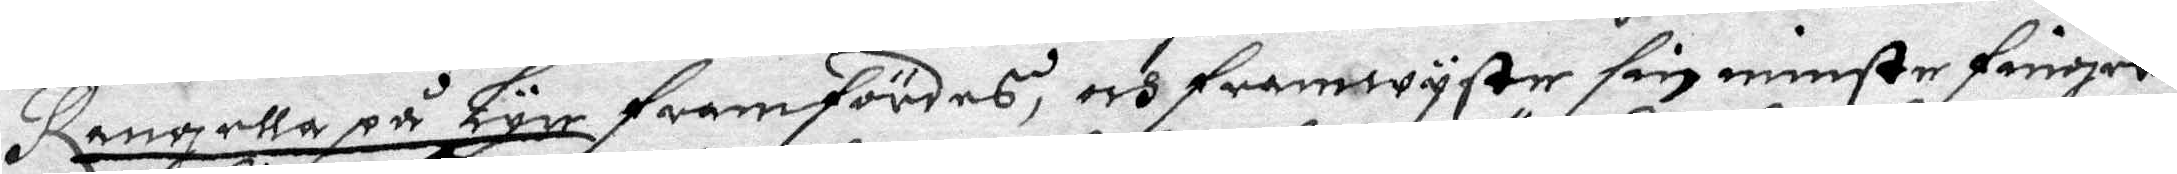Rangella på Lyr framfördes, och framwyste sin minste finger
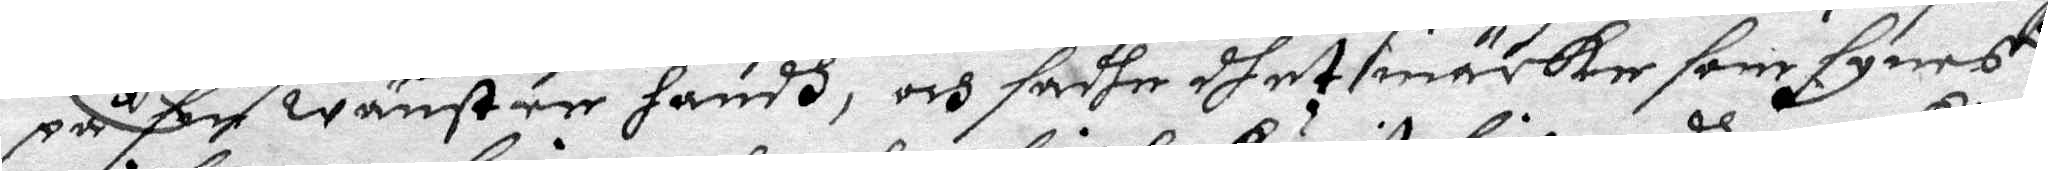på sin wänster handh, och sadhe dhet märke som synes
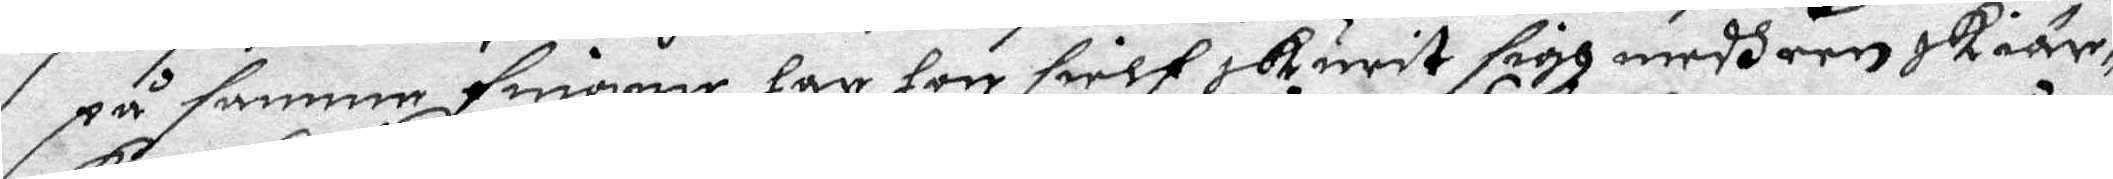på samma smönre har hon sielf skurit sigh medh een skiäre¬
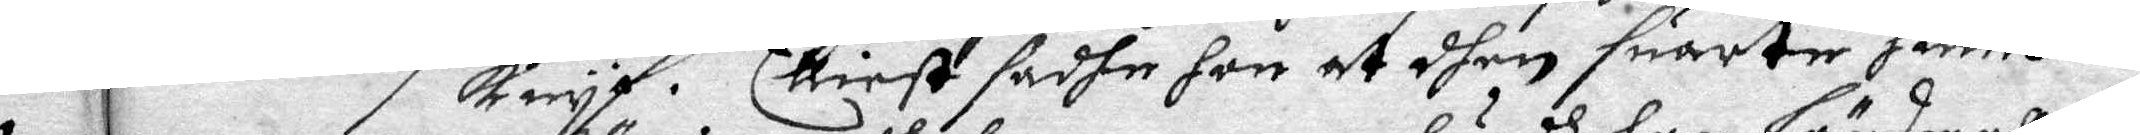Knyf. Elliest sadhe hon at dhen suarte hundh 2 eller 3 gånger
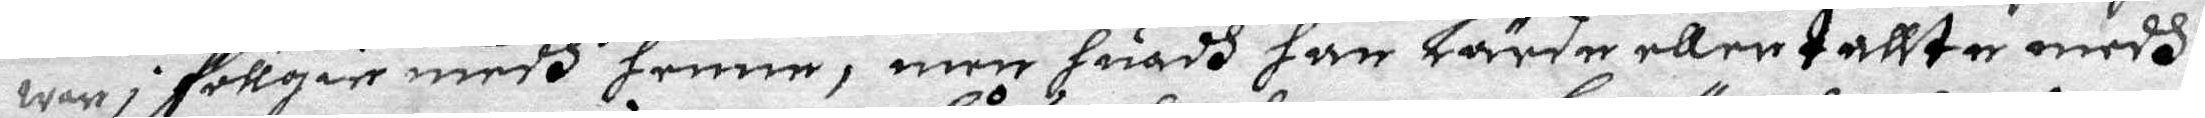war i föllgie medh henne, men huadh han lärde ellert tallte medh
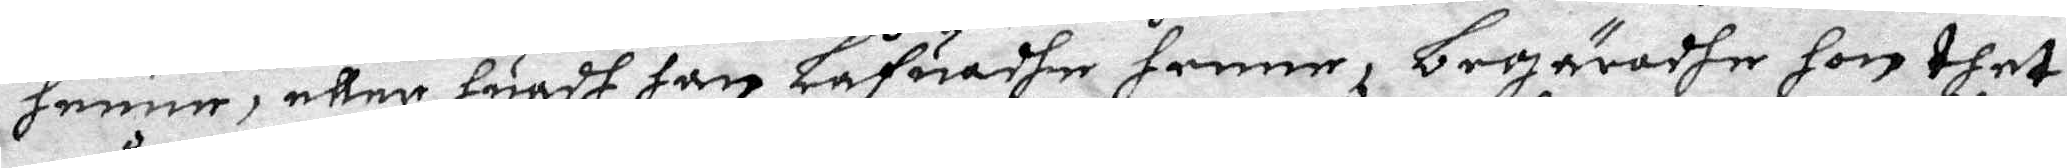henne, eller huadh han låfuadhe henne, begäradhe hon thet
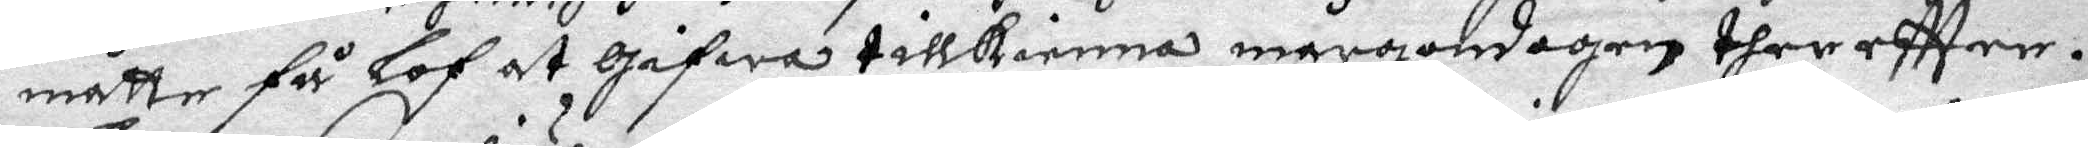måtte få lof at gifwa tillkienna mårgendagen ther eftter.
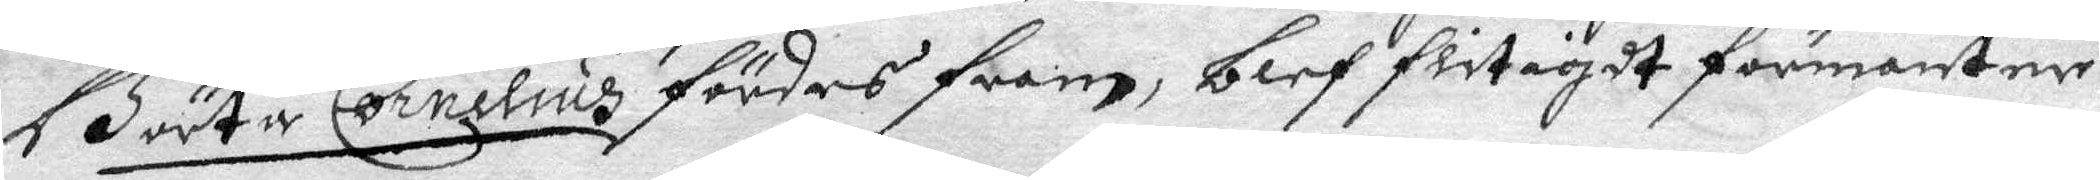Börta Cornelius fördes fram, blef flitigdt förmanter
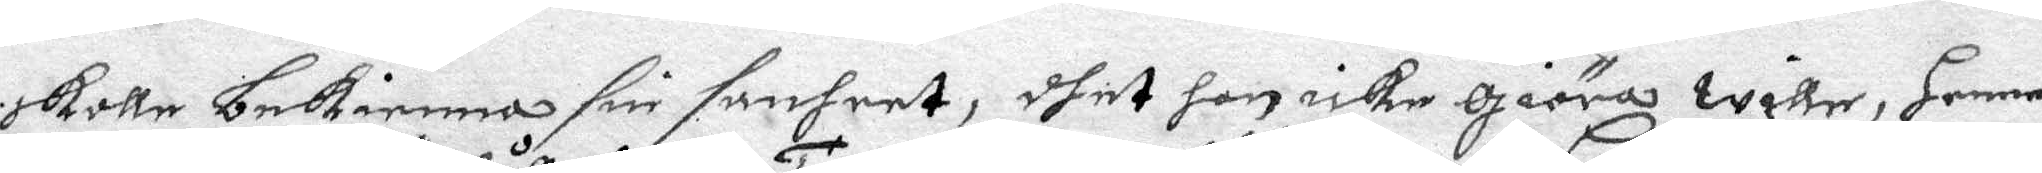skolle bekienna sin sanheet, dhet hon icke giöra willer, Henne
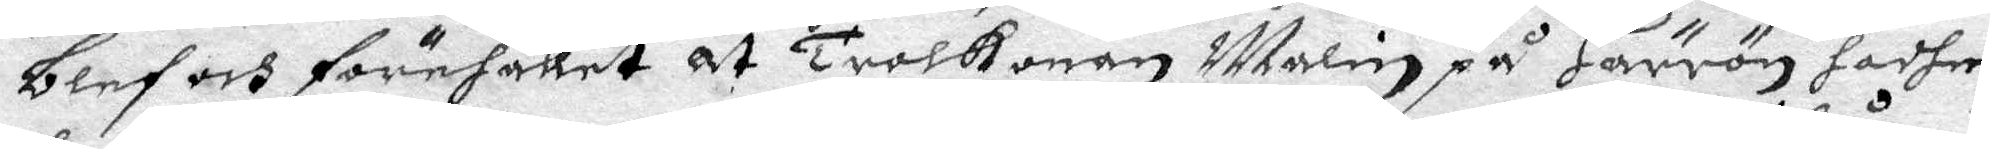blef och förehållet at Trolkonan Malin på Härrön hadhe
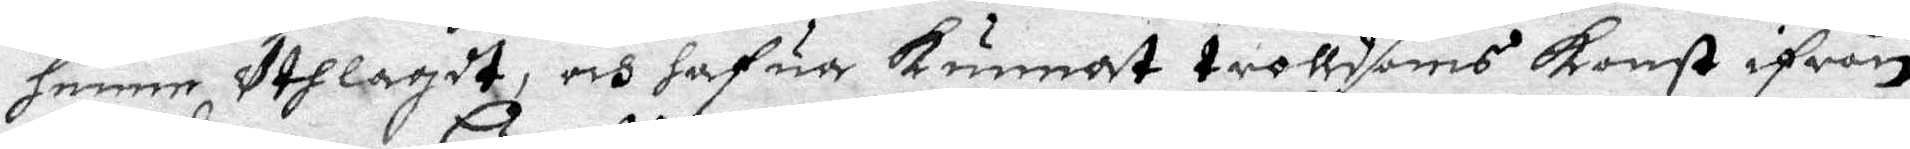henne uthlagdt, och hafua Kunnat trolldoms Konst ifrån
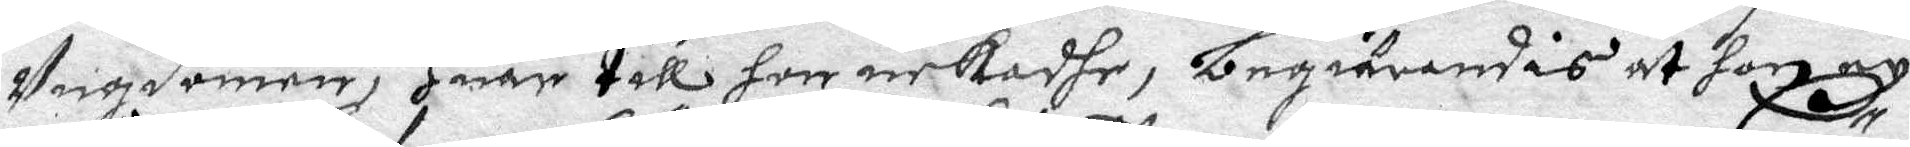ungdomen, huar till hon nekadhe, begiärandes at hog ey
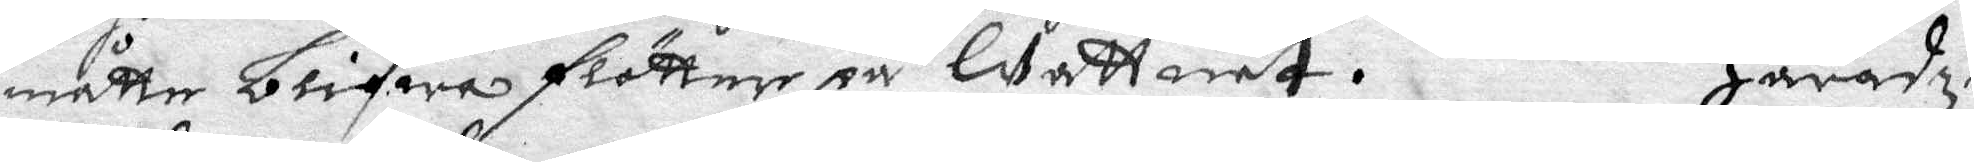måtte blifwa flötter på Wattnet. Häradz¬
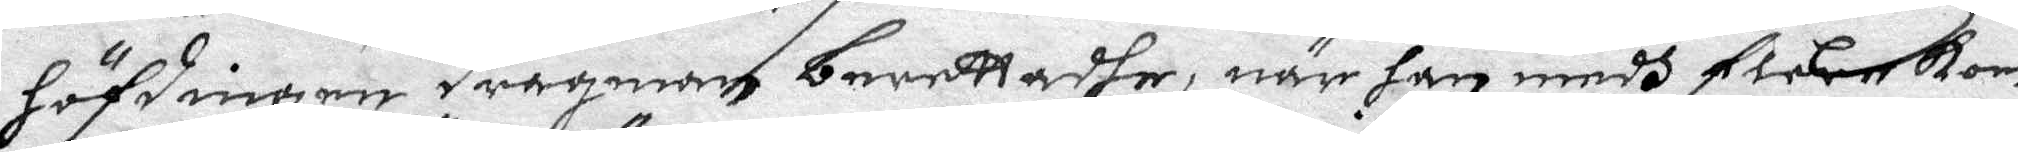höfdingen Dragman berettadhe, när han medh flere Kom¬
